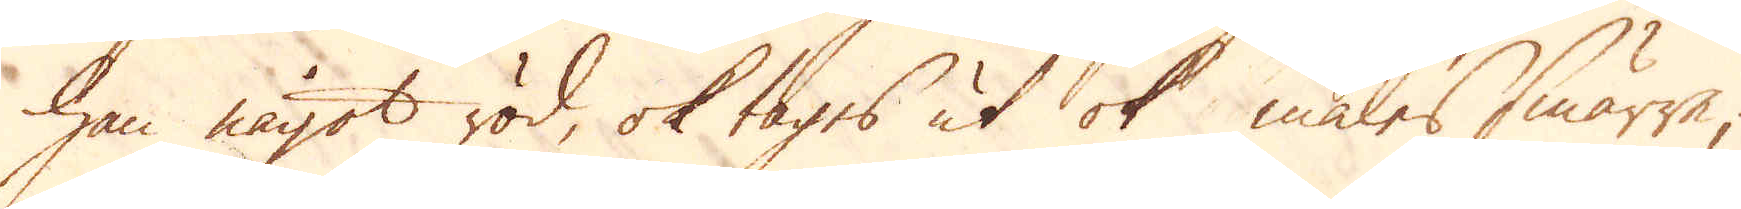han något röd, ok tages ut ok males smärre;
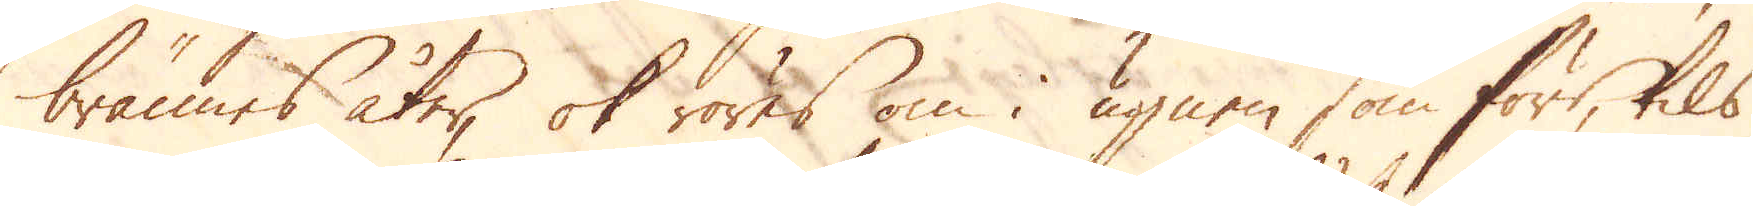brännes åter, ok röres om i ugnen som förr, tils
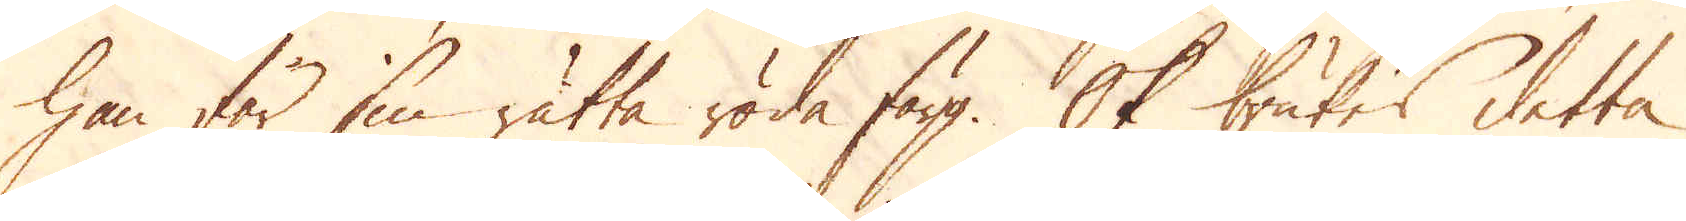han får sin rätta röda färg. Ok brukes detta
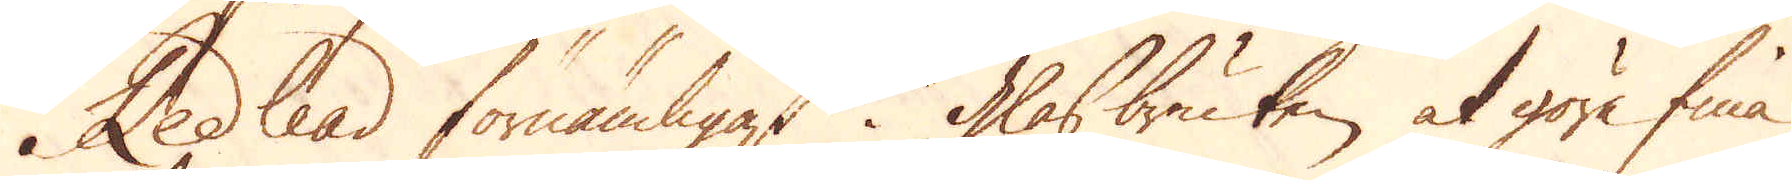Redlead förnämligast i Glasbruken at göra fina
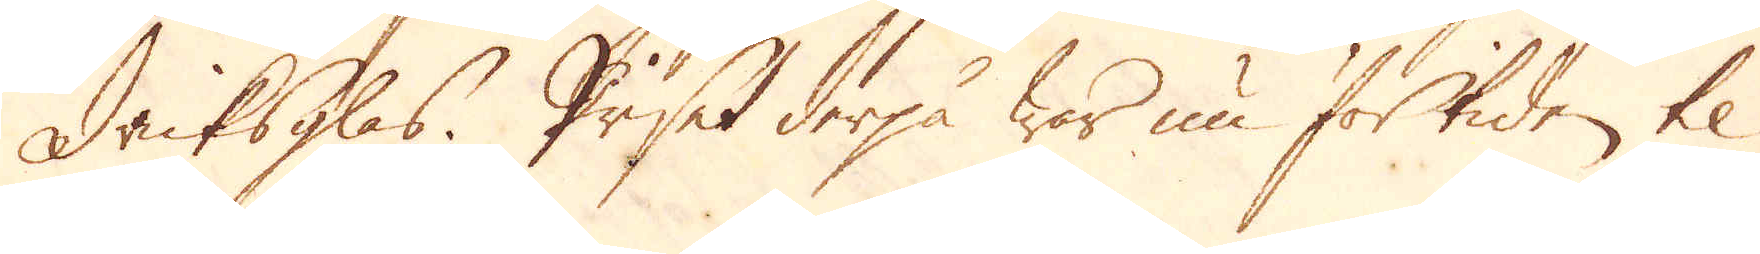dricksglas. Priset derpå war nu för tiden til
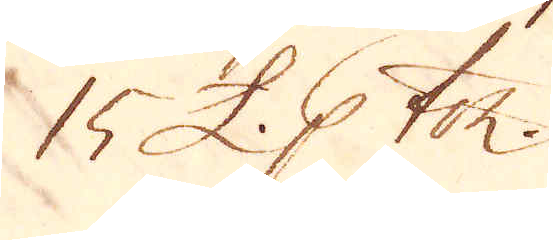15 £. p ton.
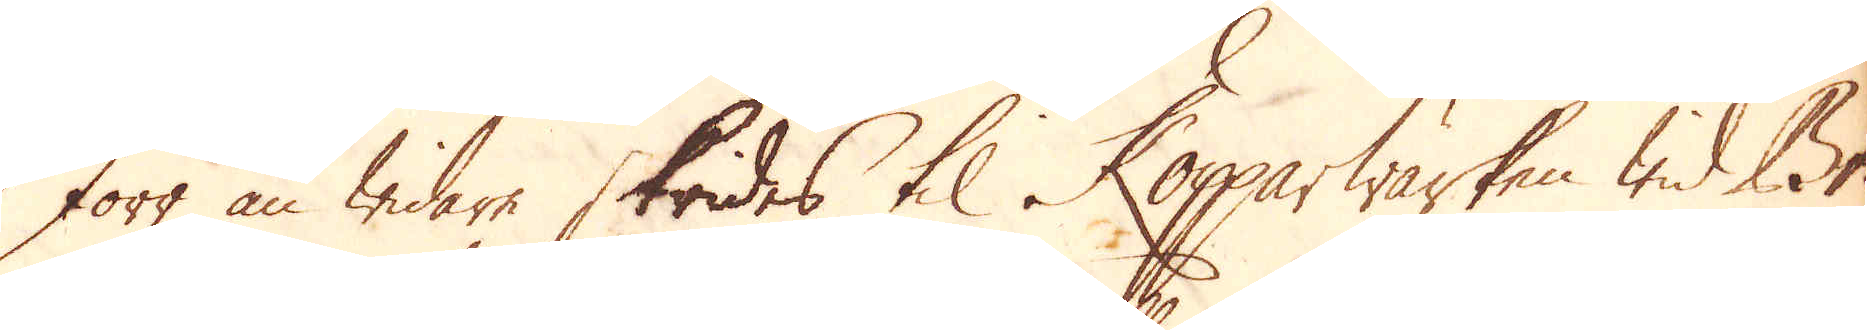Förr än widare skrides til Kopparwärken wid Br-
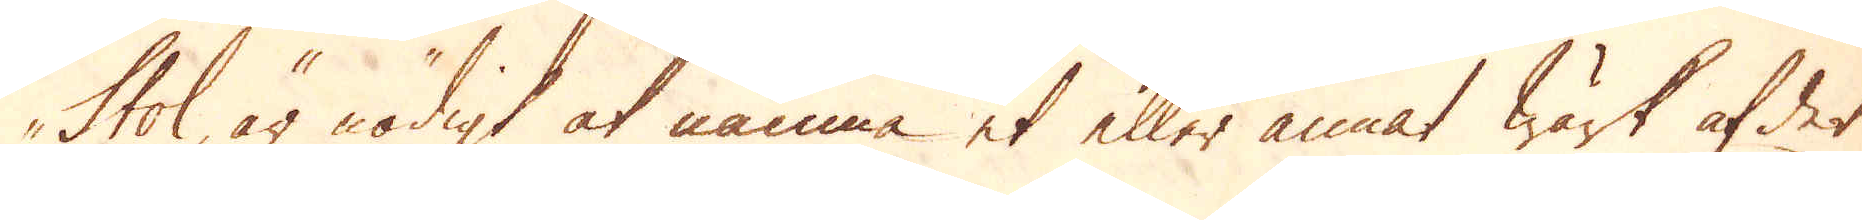stol, är nödigt at nämna et eller annat wärk af det
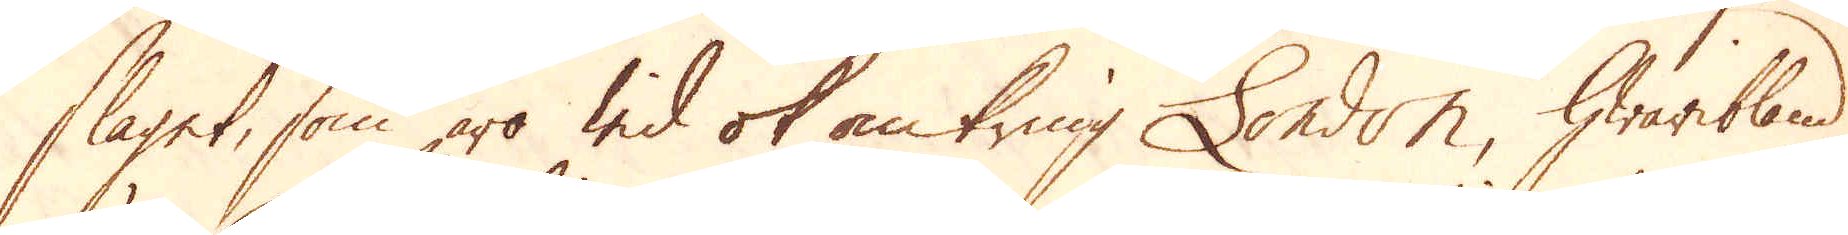slaget, som äro wid ok omkring London, hwaribland
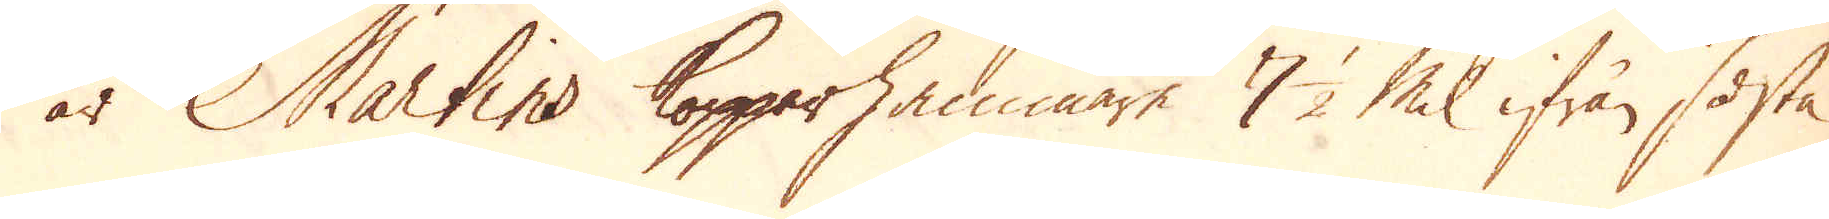är Martins Kopparhammare 7 1/2 Mil ifrån sista
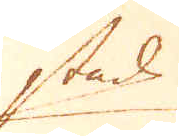stad
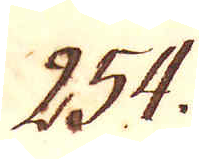254.
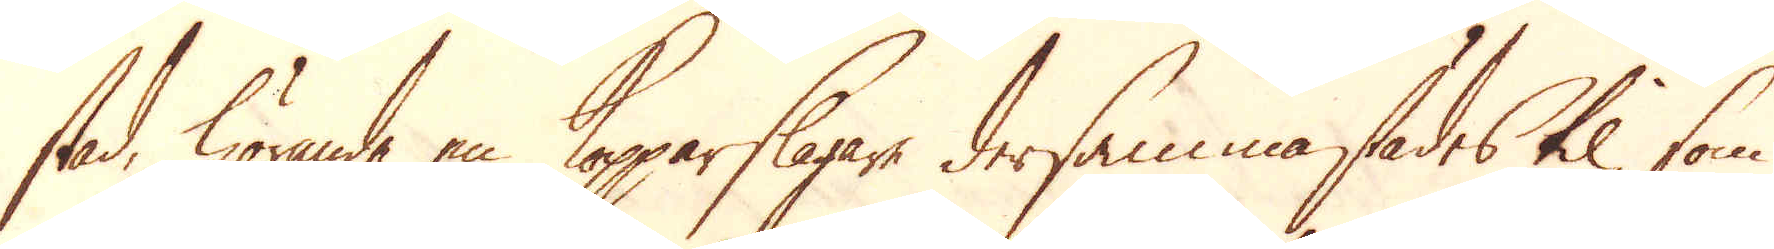stad, hörande en Kopparslagare dersammastädes til, som
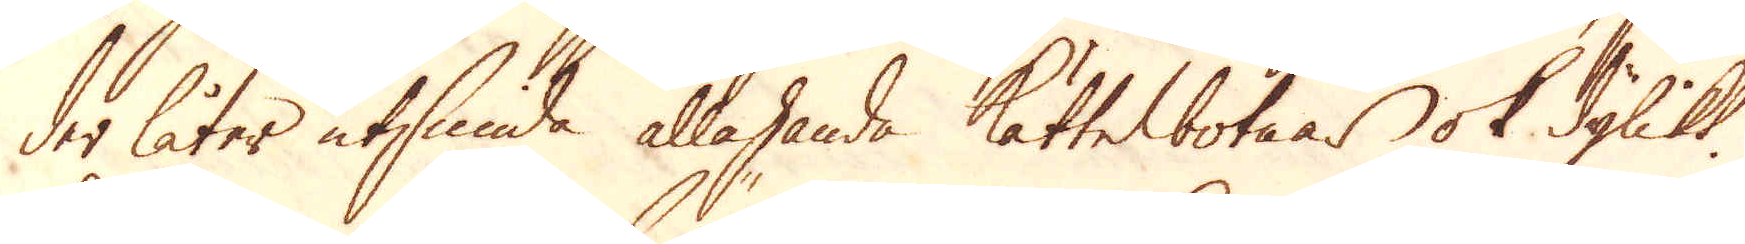der låter utsmida allahanda Kättelbotnar ok dylikt.
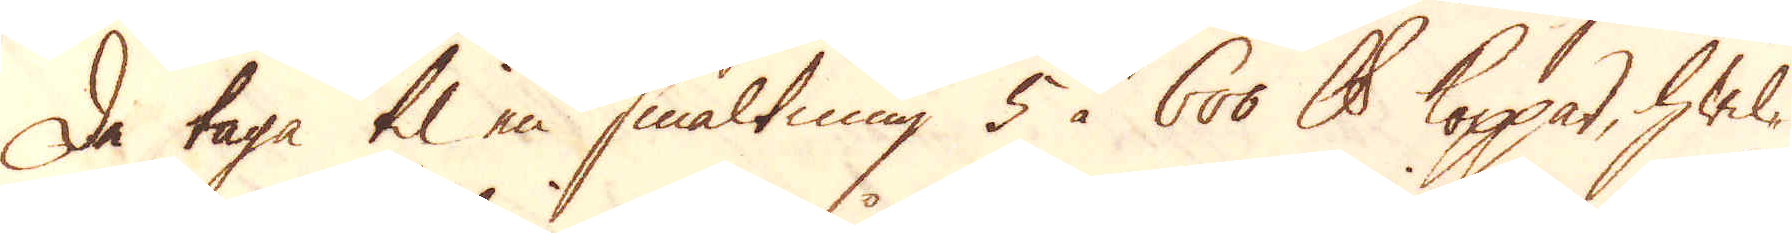De taga til en smältning 5 à 600 skålpund koppar, hwil-
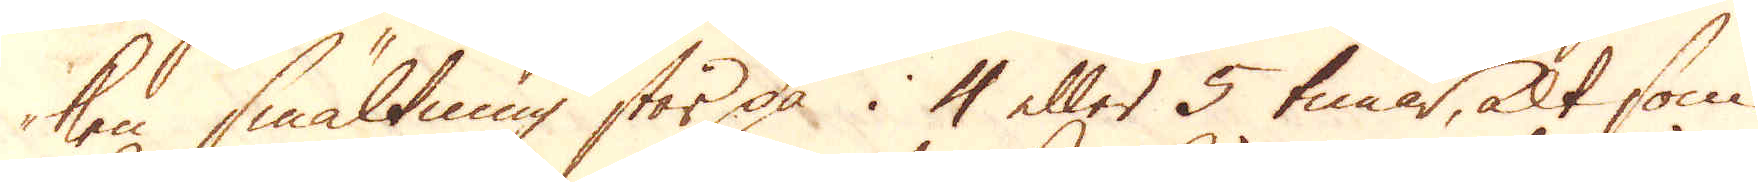ken smältning står på i 4 eller 5 timar, alt som
